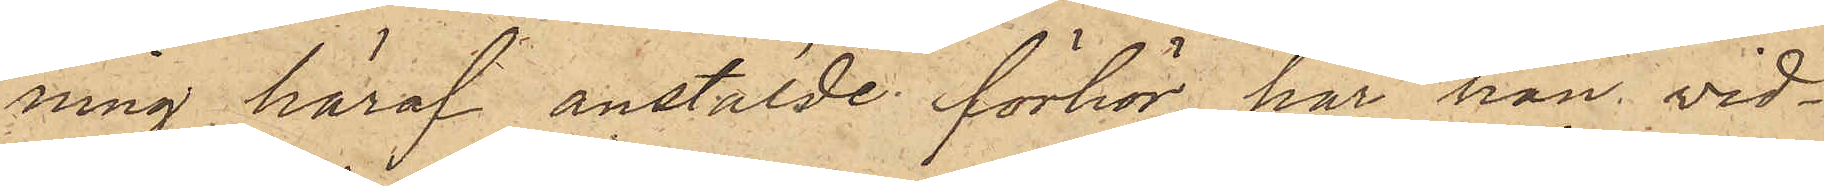ning häraf anstälde förhör har han vid¬
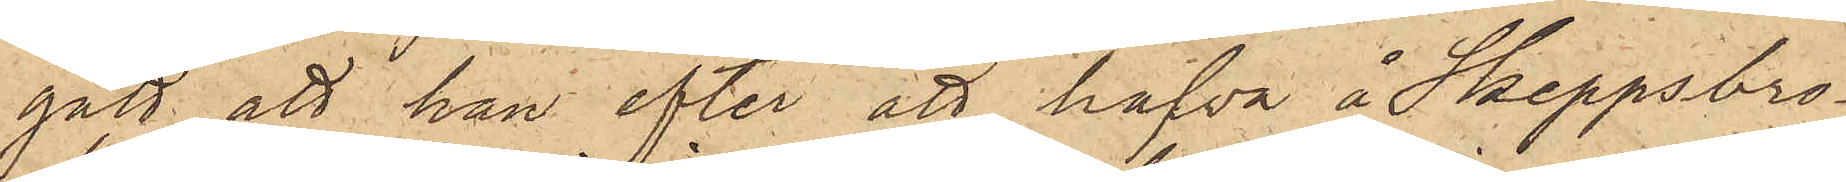gått, att han efter att hafva å Skeppsbro¬
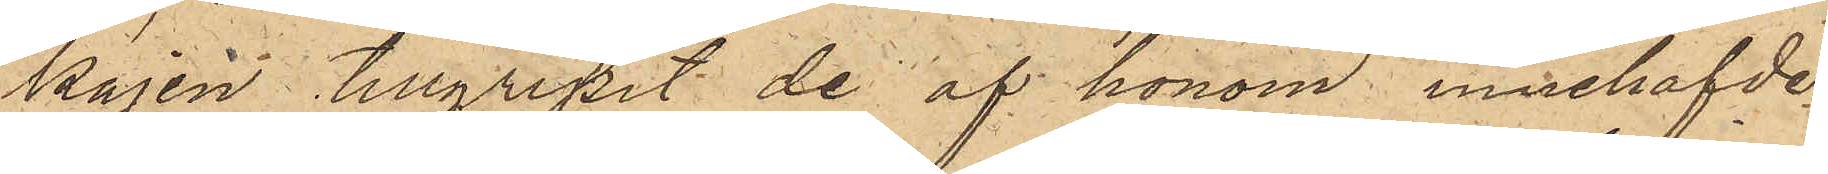kajen tillgripit de af honom innehafvde
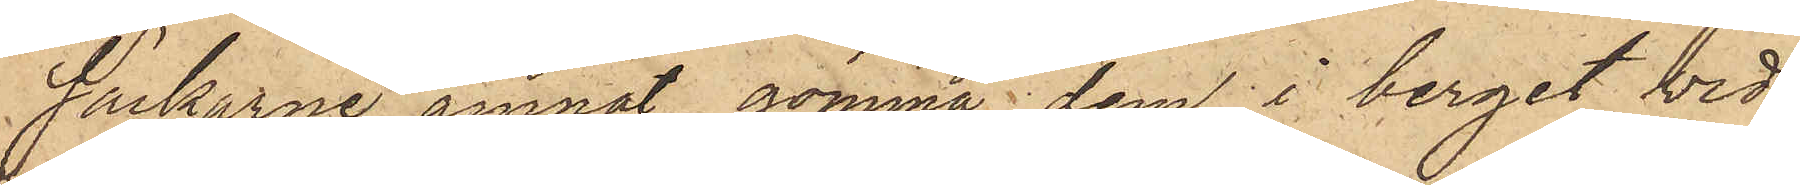säckarne ämnat gömma dem i berget vid
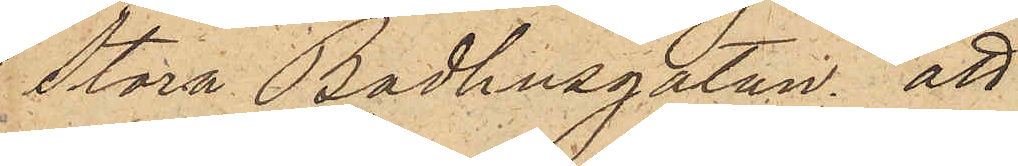Stora Badhusgatan; att
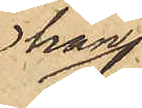han
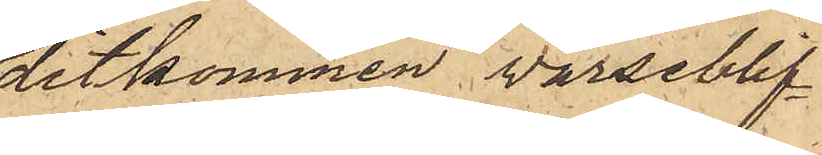ditkommen varseblif¬
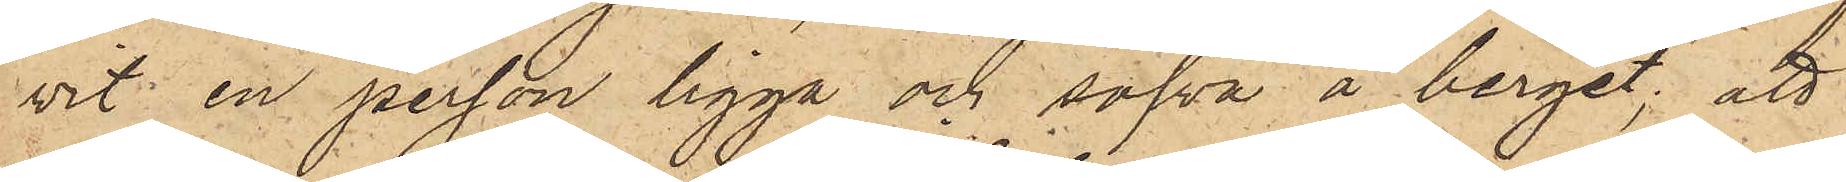vit en person ligga och sofva å berget; att
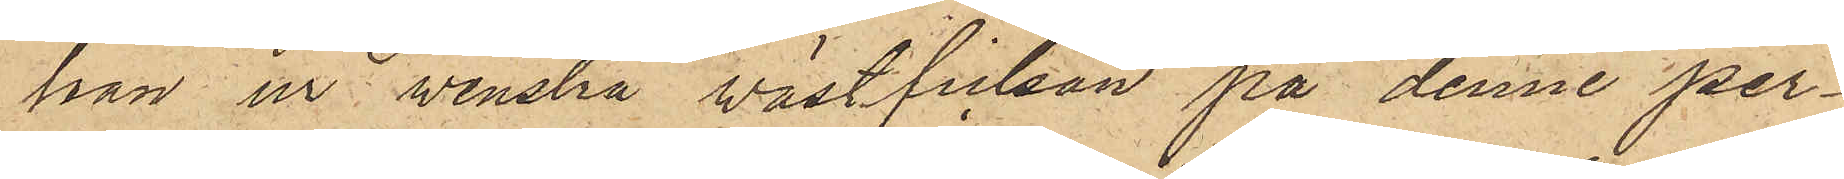han ur venstra västfickan på denne per¬
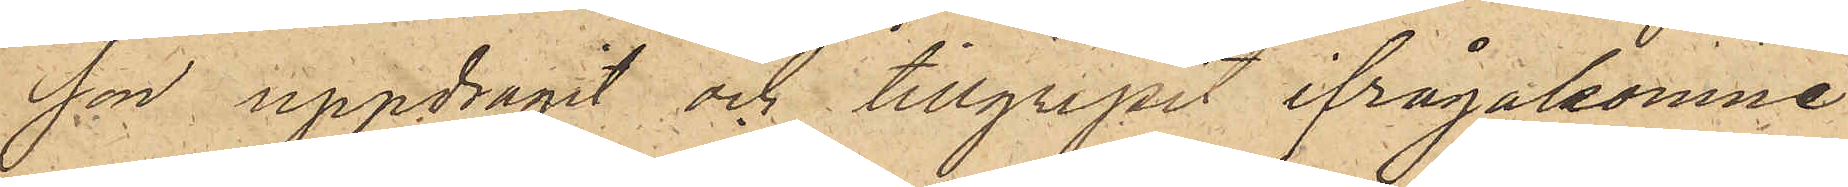son uppdragit och tillgripit ifrågakomne
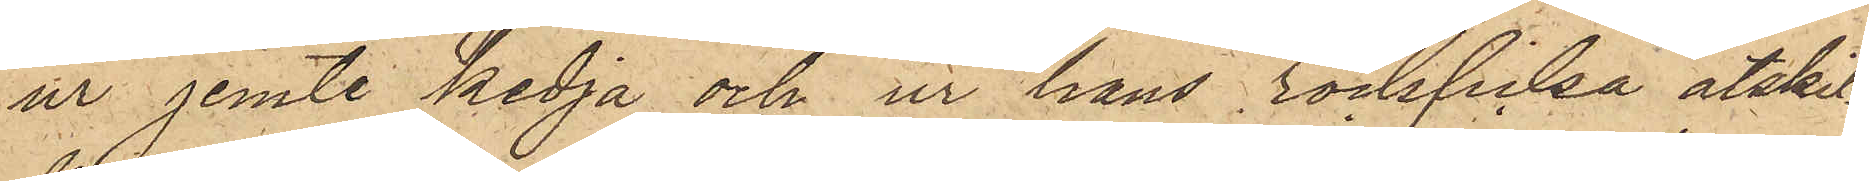ur jemte kedja och ur hans rockficka åtskil¬
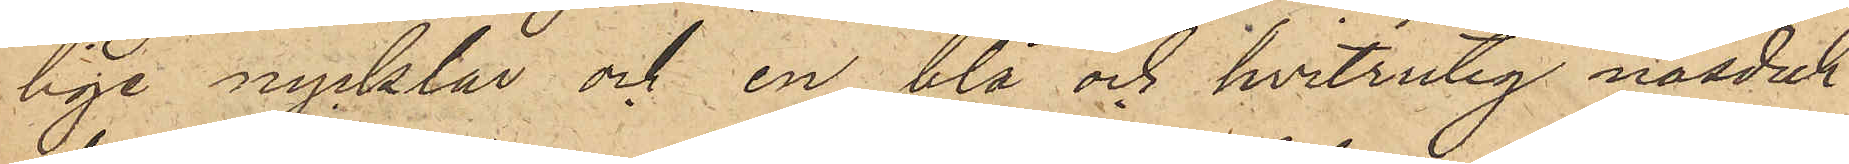lige nycklar och en blå och hvitrutig näsduk
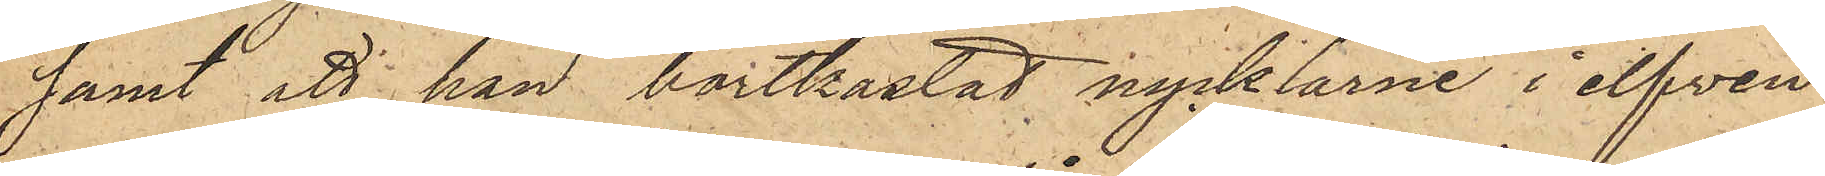samt att han bortkastat nycklarne i elfven
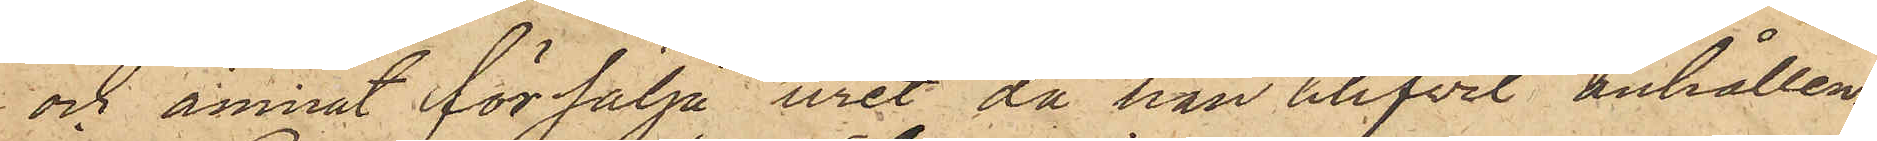och ämnat försälja uret, då han blifvit anhållen.
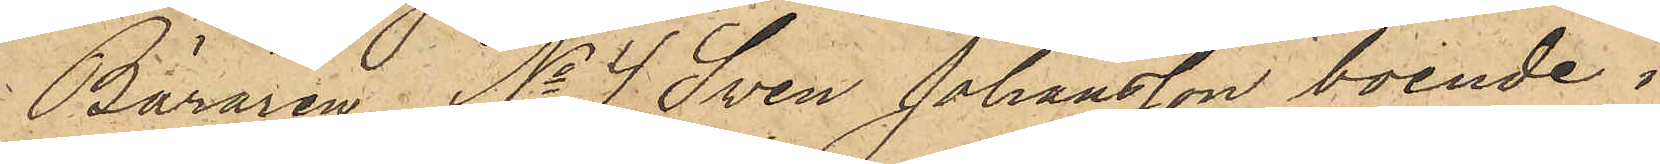Bäraren No 4 Sven Johansson boende i
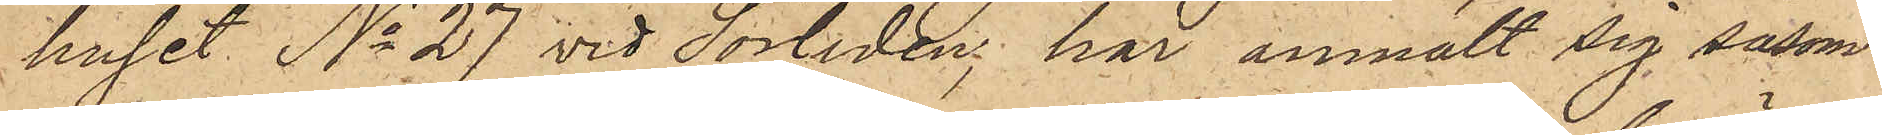huset No 27 vid Sörliden, har anmält sig såsom
